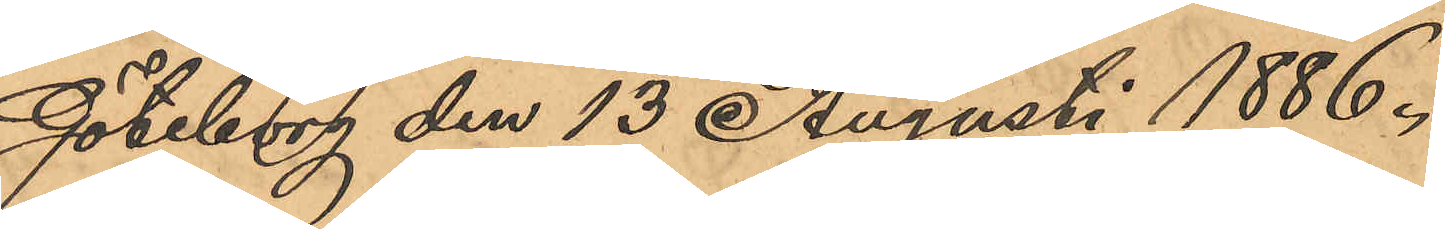Göteborg den 13 Augusti 1886.
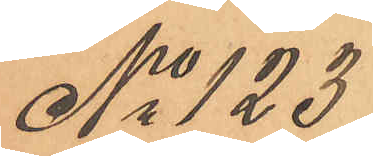No 123
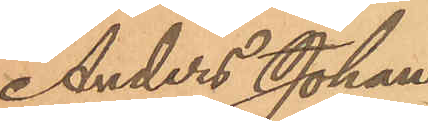Anders Johan
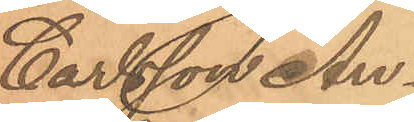Carlsson An¬
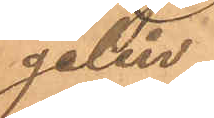gelin.
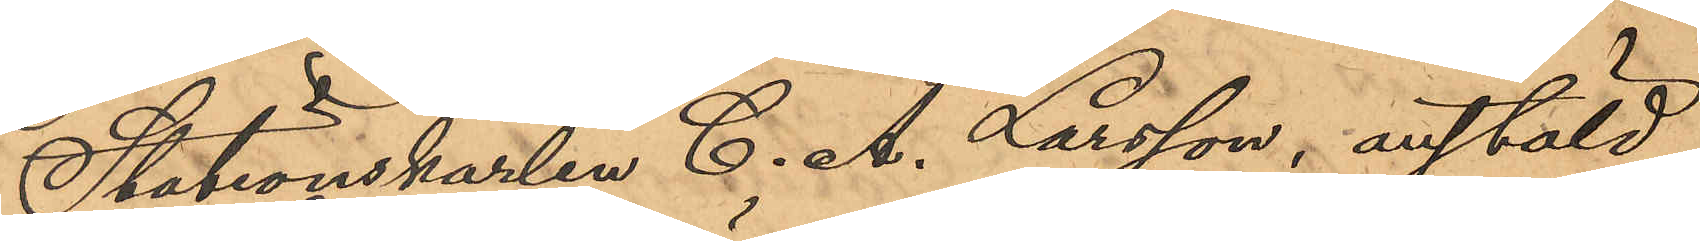Stationskarlen C. A. Larsson, anstäld
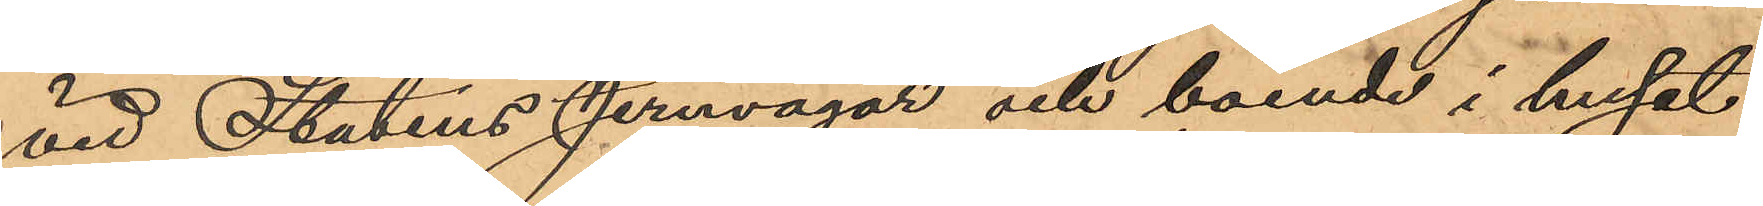vid Statens Jernvägar och boende i huset
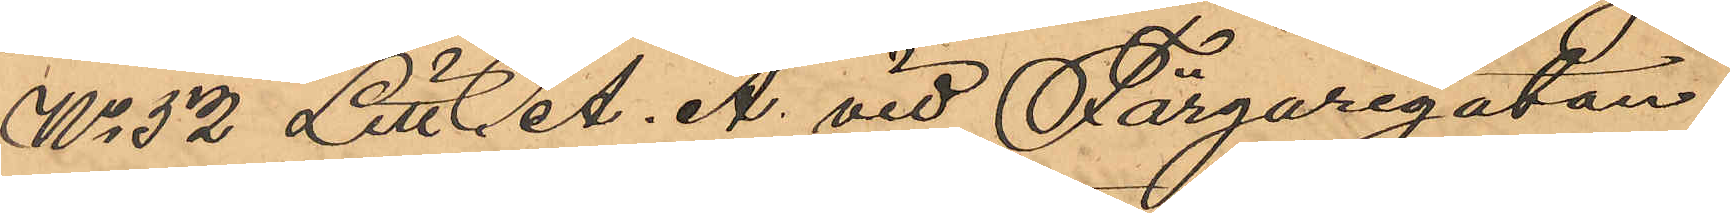No 52 Litt. A. A. vid Färgaregatan,
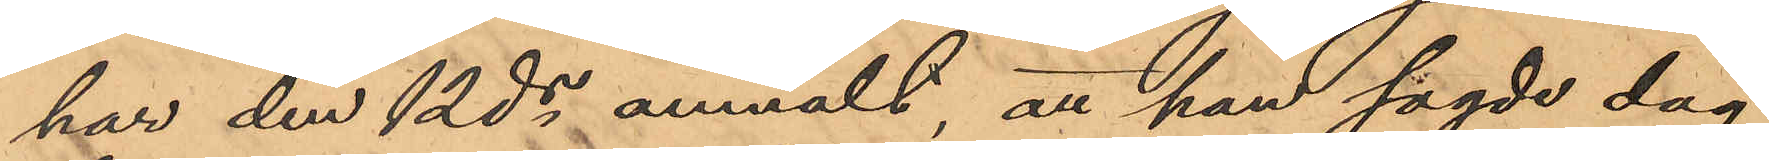har den 12 ds anmält, att han sagde dag
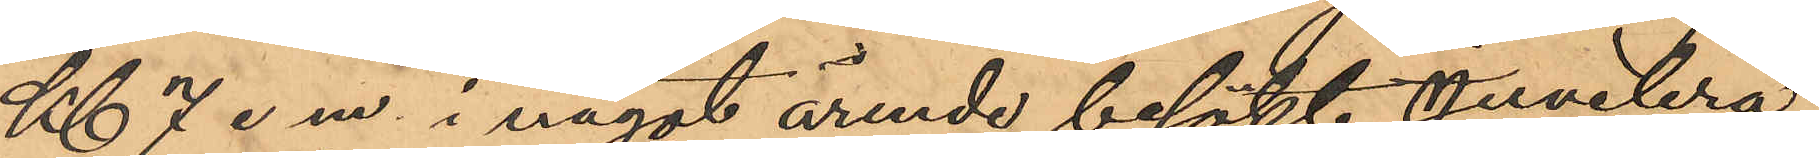Kl 7 e.m. i något ärende besökt Juvelera¬
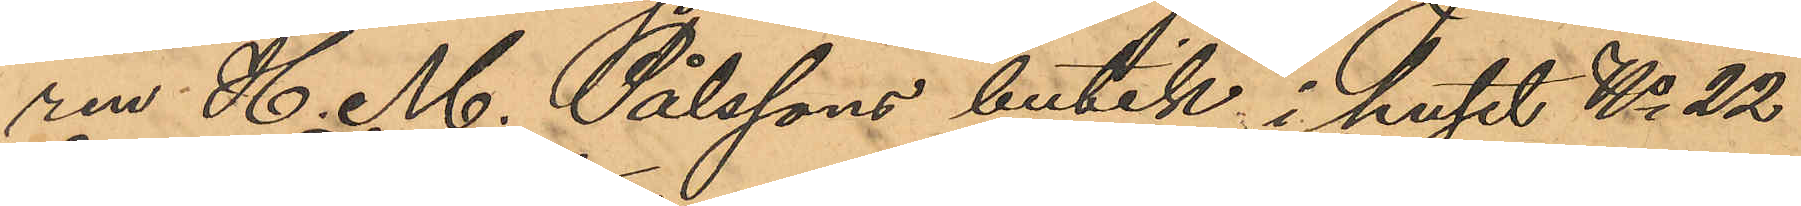ren H. M. Pålssons butik i huset No 22
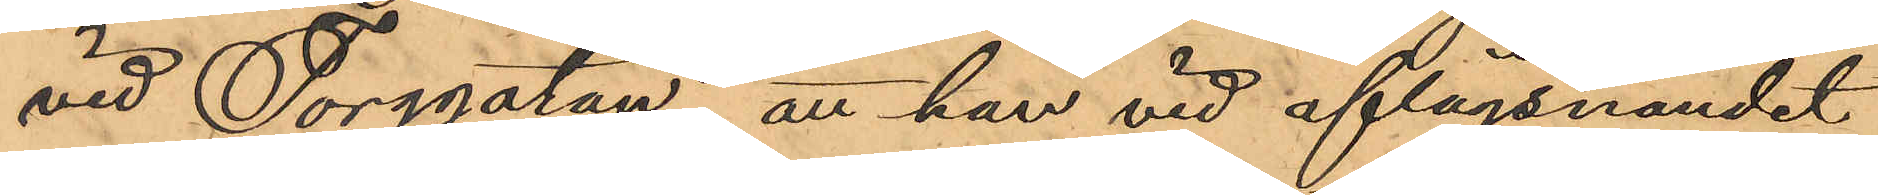vid Torggatan, att han vid aflägsnandet
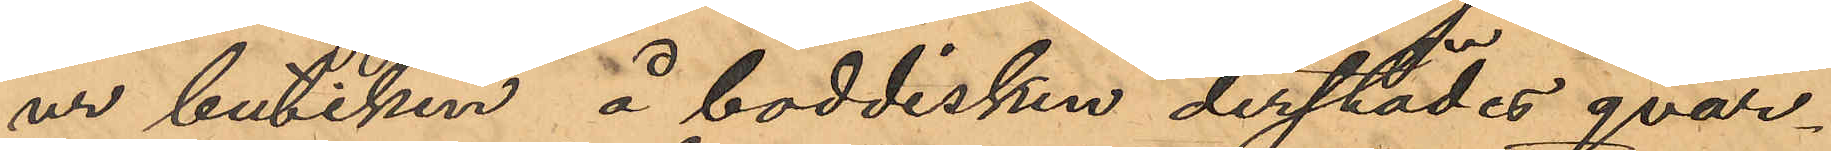ur butiken å boddisken derstädes qvar¬
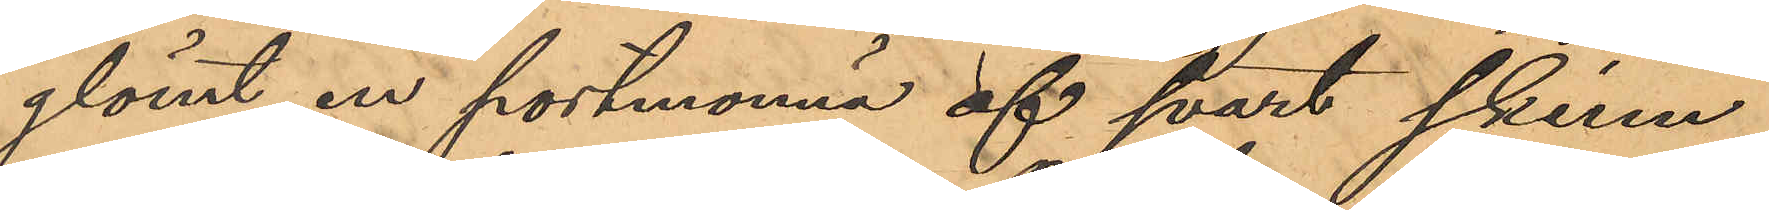glömt en portmonnä af svart skinn,
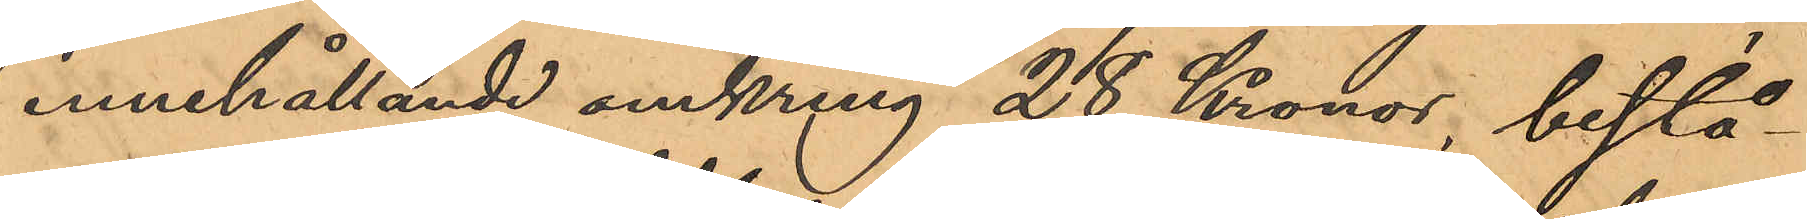innehållande omkring 28 Kronor, bestå¬
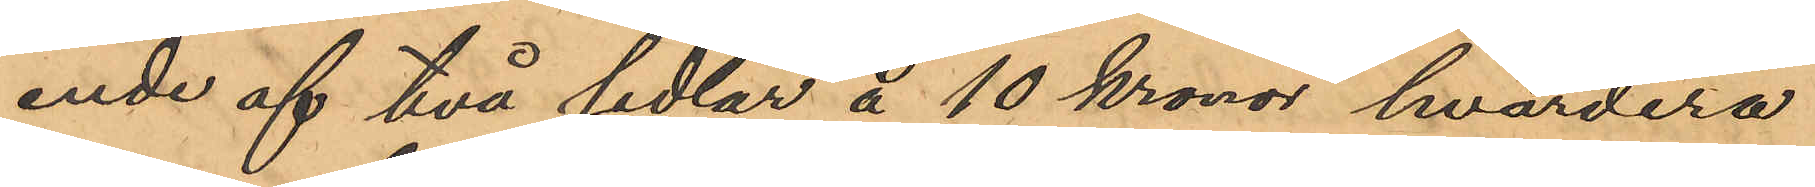ende af två sedlar å 10 kronor hvardera
